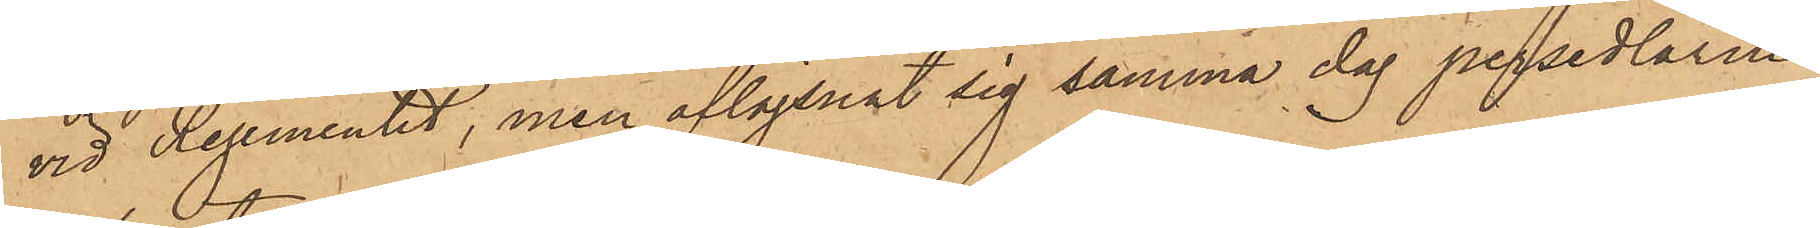vid Regementet, men aflägsnat sig samma dag persedlarne
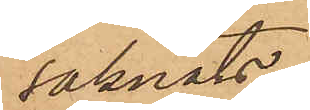saknats.
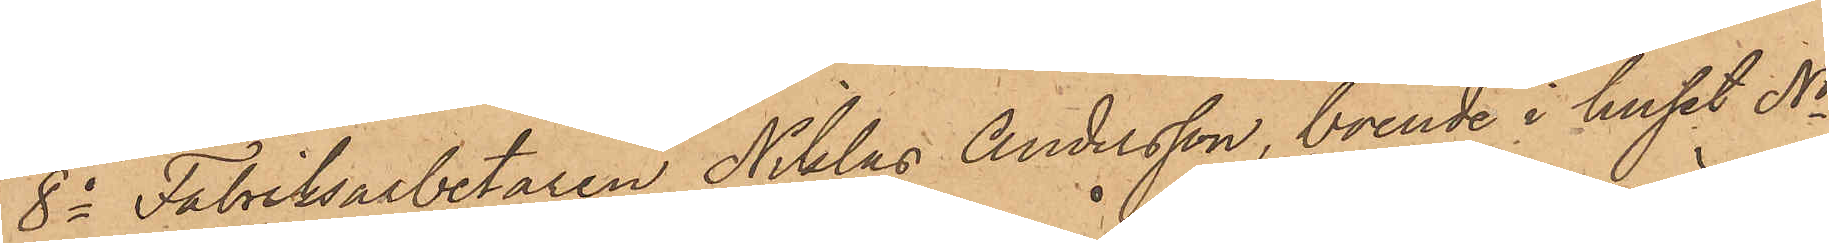8o Fabriksarbetaren Niklas Andersson, boende i huset No
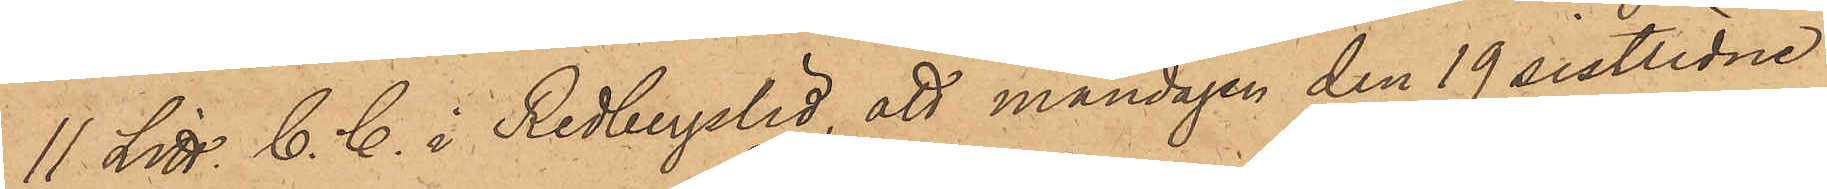11 Litt. C. C. i Redbergslid, att måndagen den 19 sistlidne
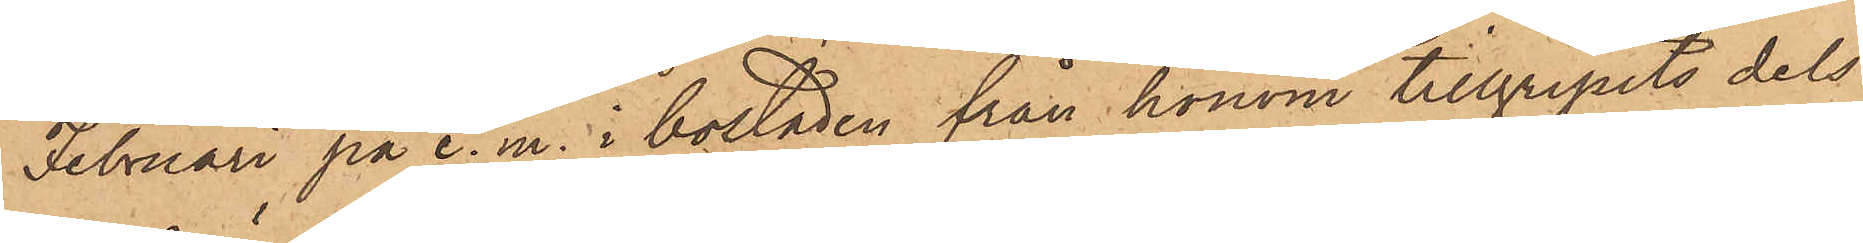Februari på e. m. i bostaden från honom tillgripits dels
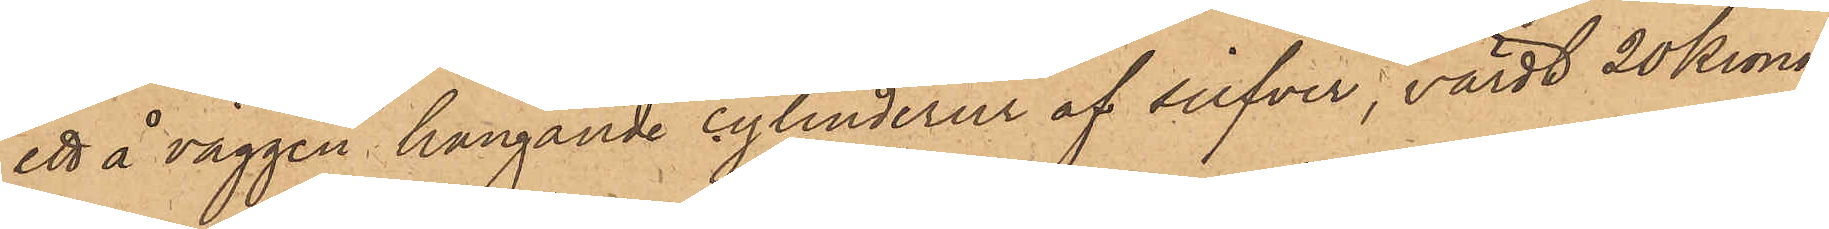ett å väggen hängande cylinderur af silfver, värdt 20 Kronor,
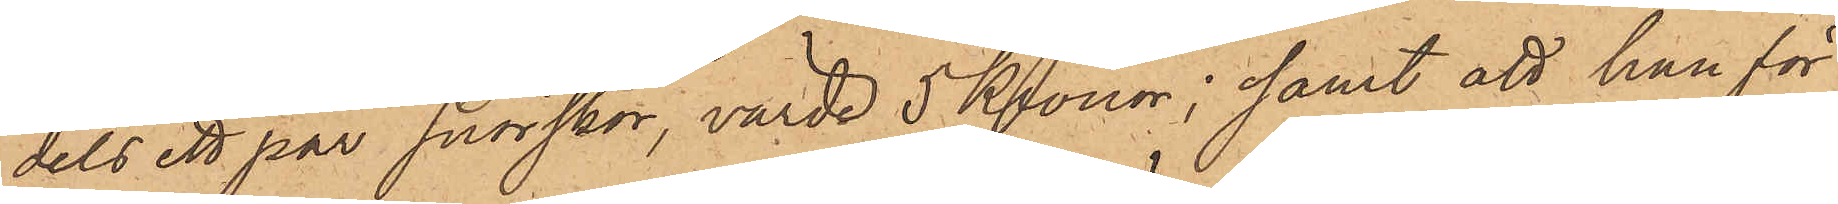dels ett par snörskor, värde 5 Kronor; samt att han för
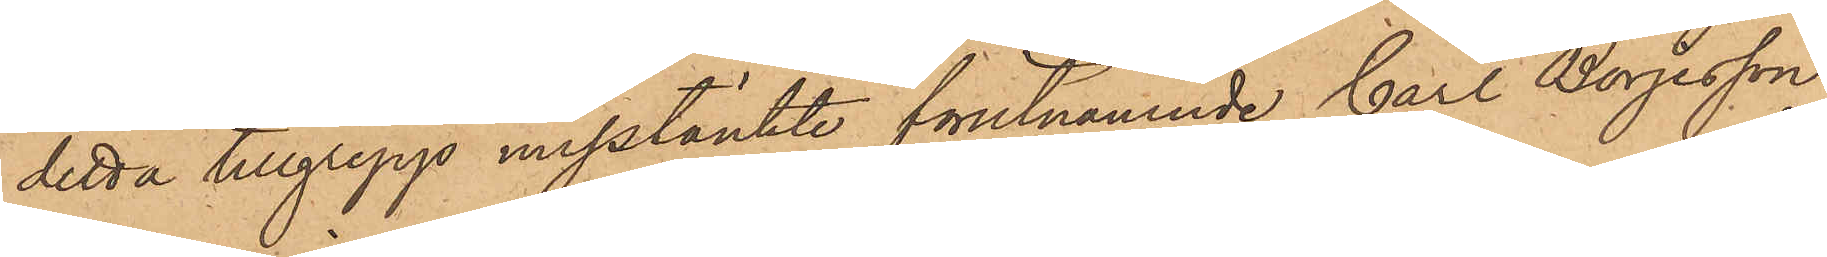detta tillgrepp misstänkte förutnämnde Carl Börjesson
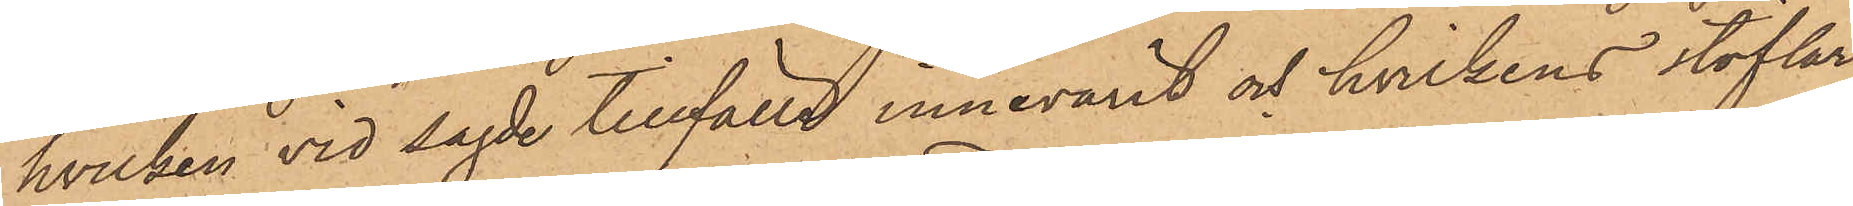hvilken vid sagde tillfälle innevarit och hvilkens stöflar
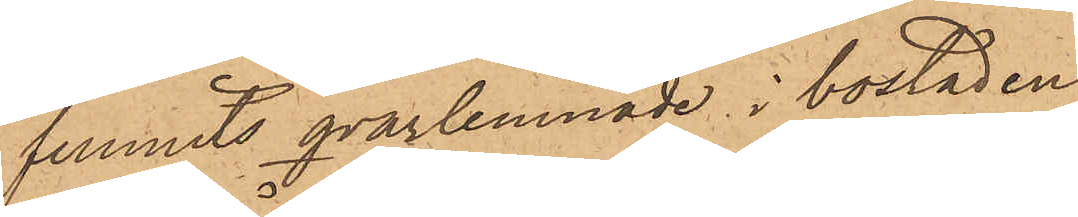funnits qvarlemnade i bostaden.
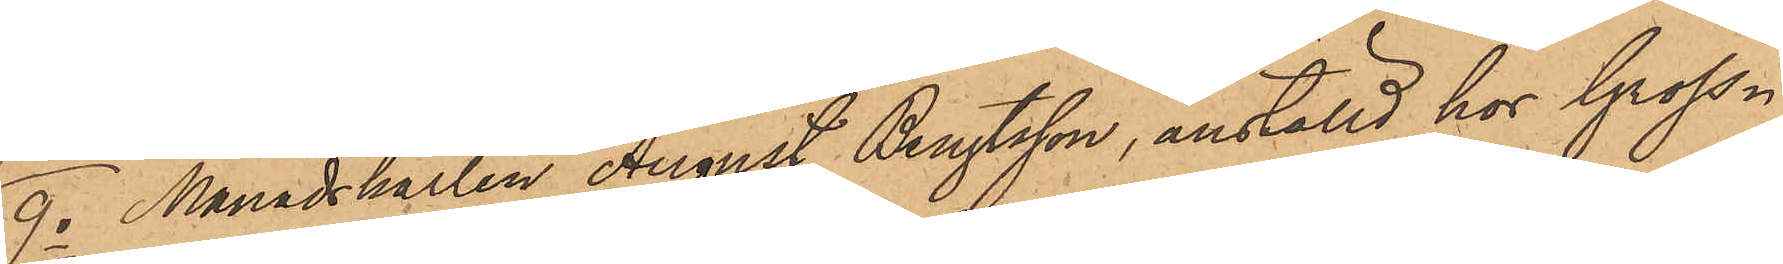9o Månadskarlen August Bengtsson, anställd hos Gross¬
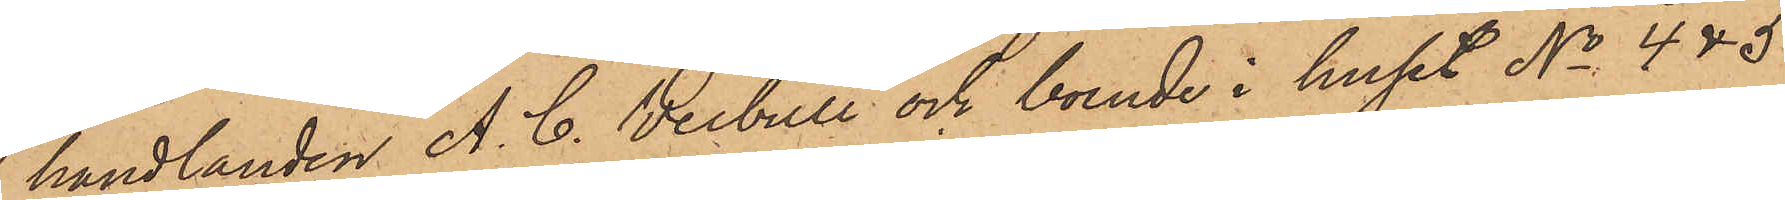handlanden A. C. Weibull och boende i huset No 4 & 5
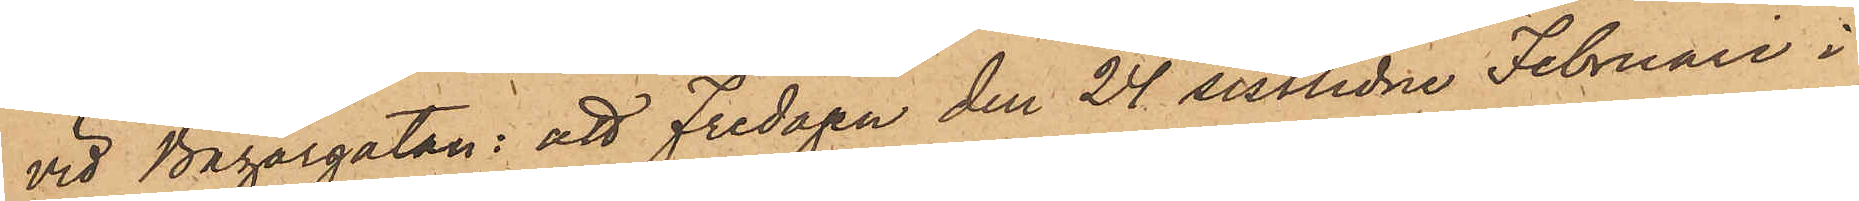vid Bazargatan: att Fredagen den 24 sistlidne Februari i
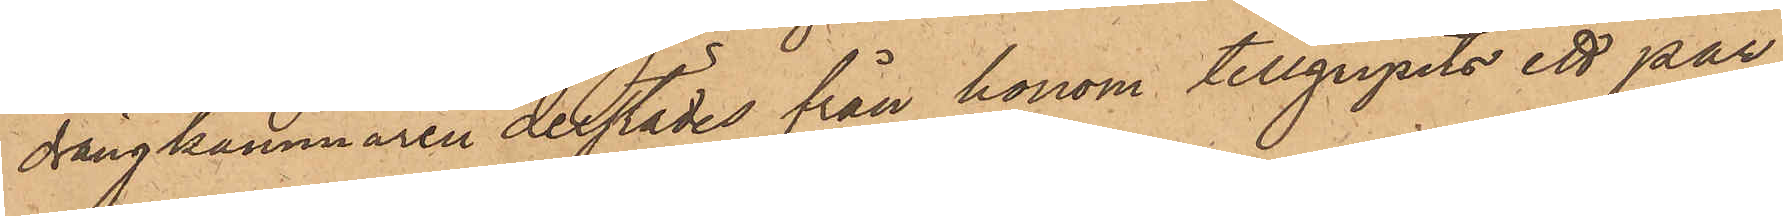drängkammaren derstädes från honom tillgripits ett par
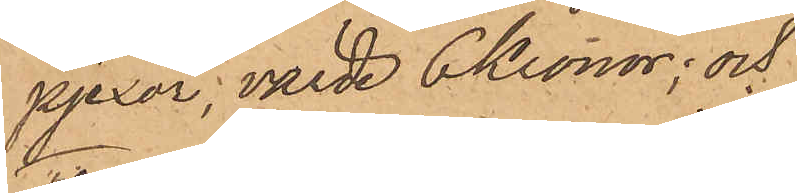pjexor, värde 6 Kronor; och
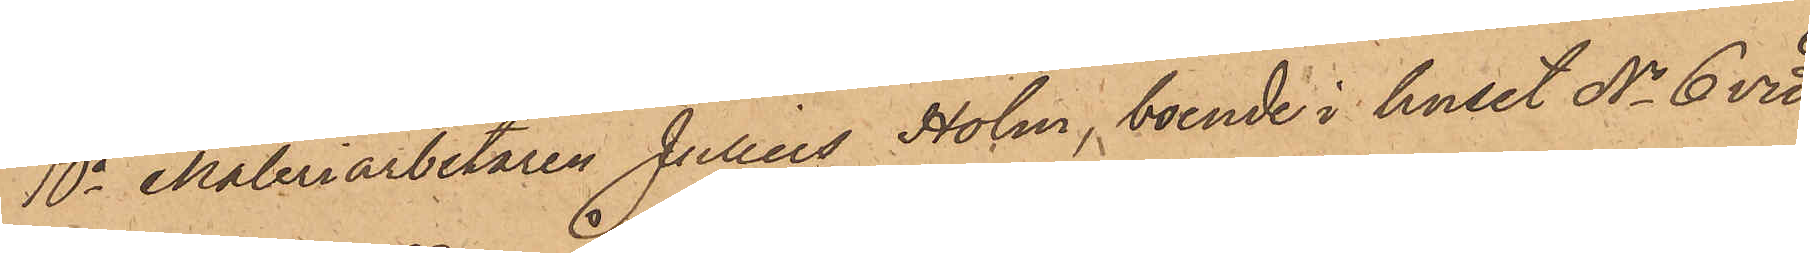10o Måleriarbetaren Julius Holm, boende i huset No 6 vid
